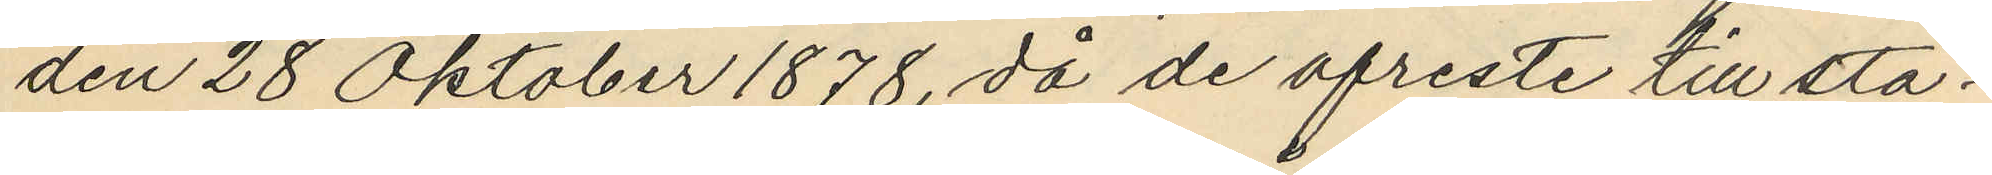den 28 Oktober 1878, då de afreste till sta¬
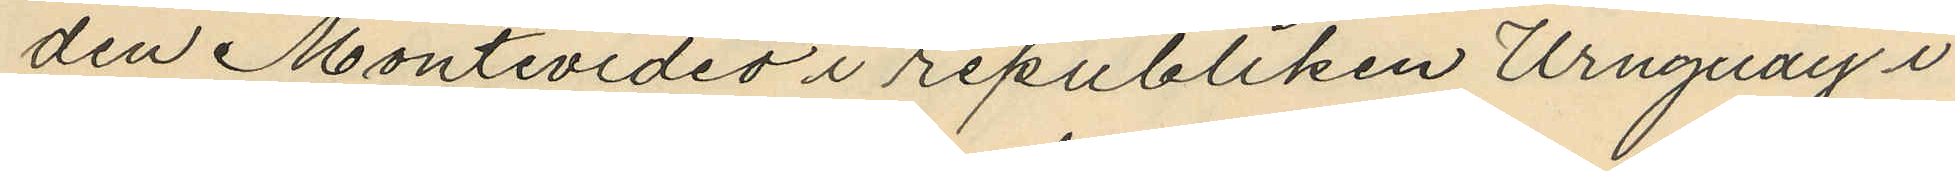den Montevideo i republiken Uruguay i
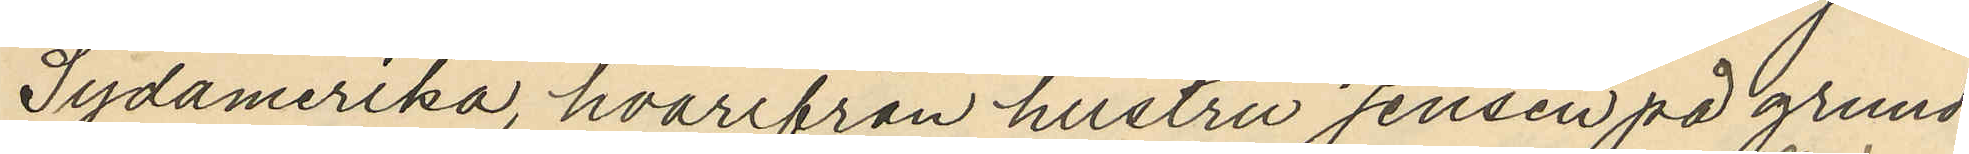Sydamerika, hvarifrån hustru Jensen på grund
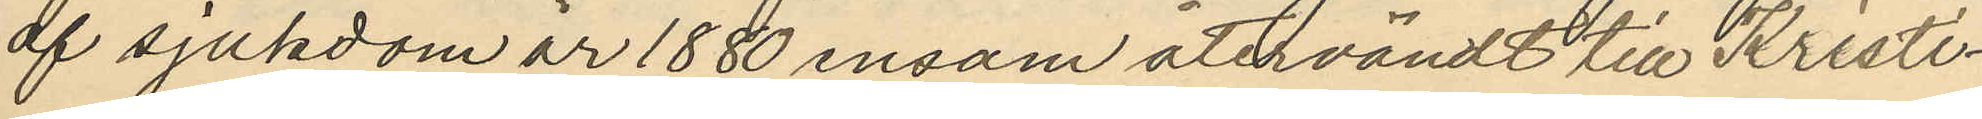af sjukdom år 1880 ensom återvändt till Kristi¬
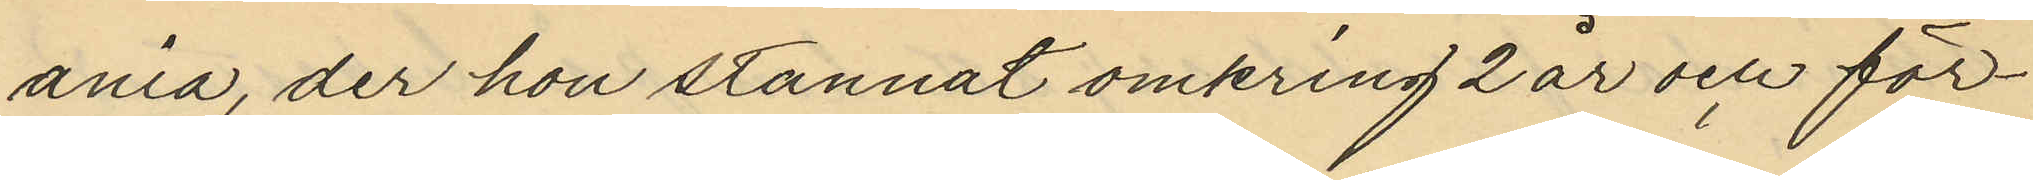ania, der hon stannat omkring 2 år och för¬
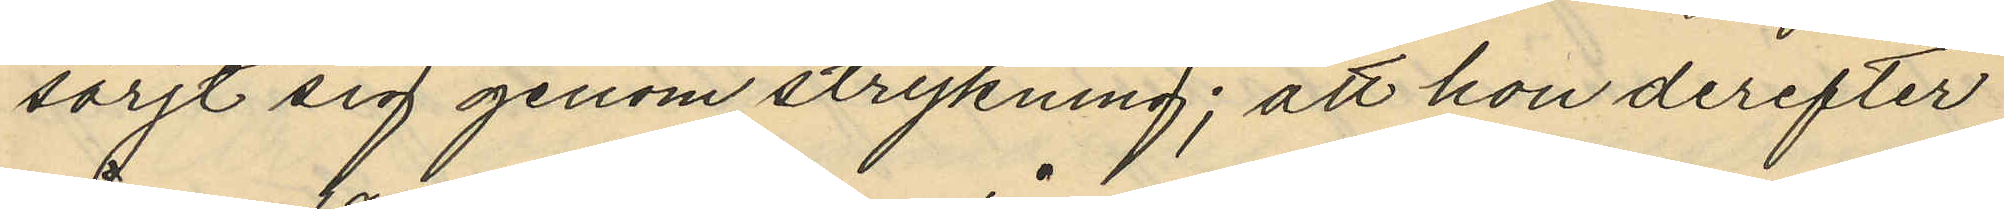sörjt sig genom strykning; att hon derefter
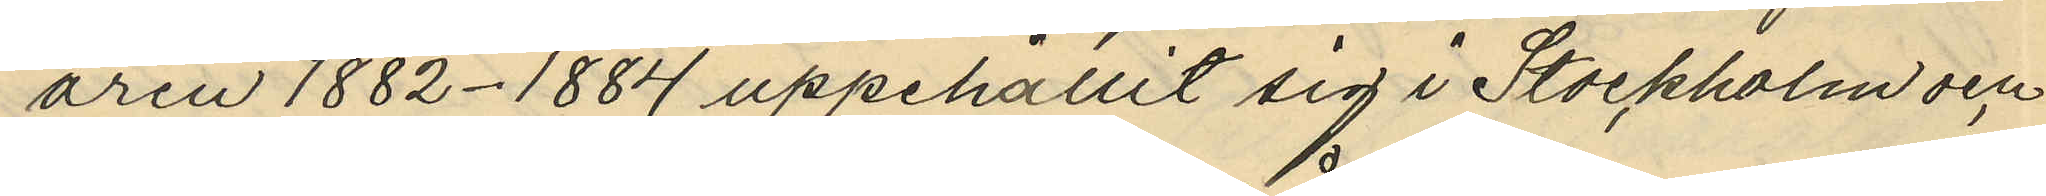åren 1882-1884 uppehållit sig i Stockholm och
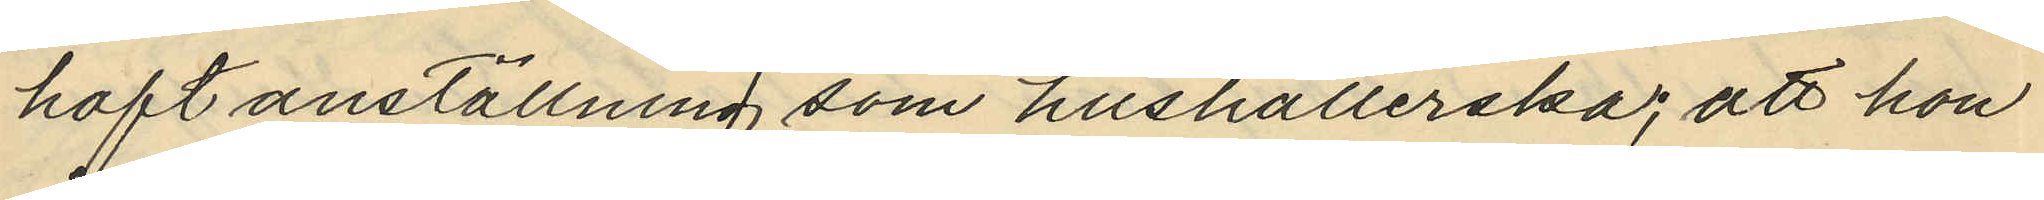haft anställning som hushållerska; att hon
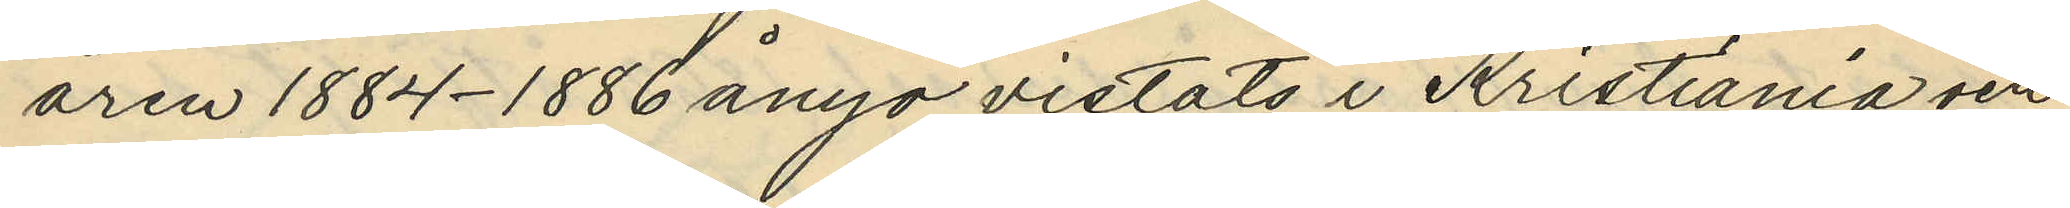åren 1884-1886 ånyo vistats i Kristiania och
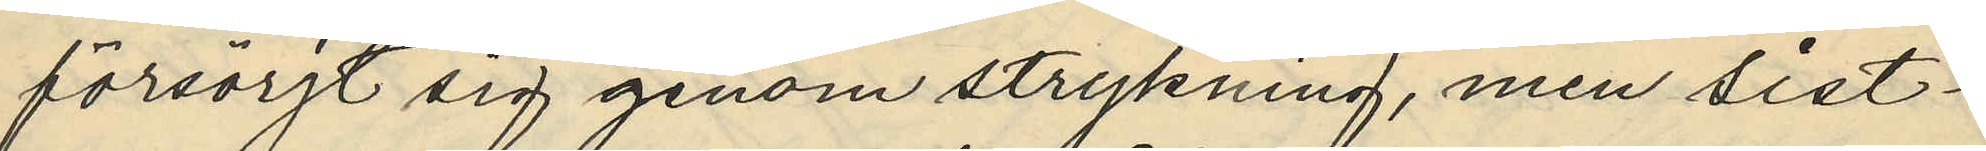försörjt sig genom strykning, men sist¬
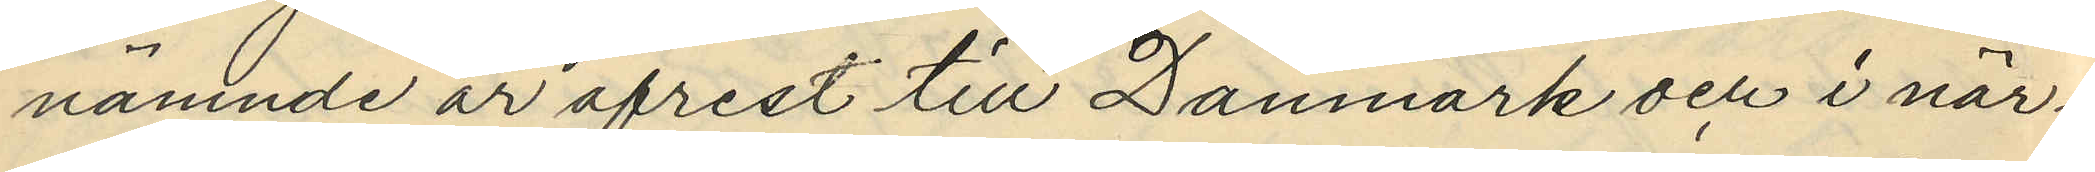nämnde år afrest till Danmark och i när¬
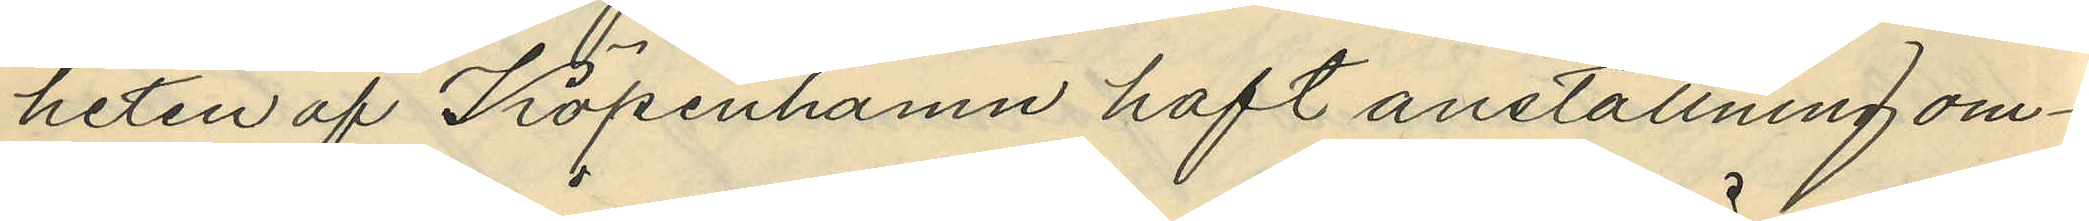heten af Köpenhamn haft anställning om¬
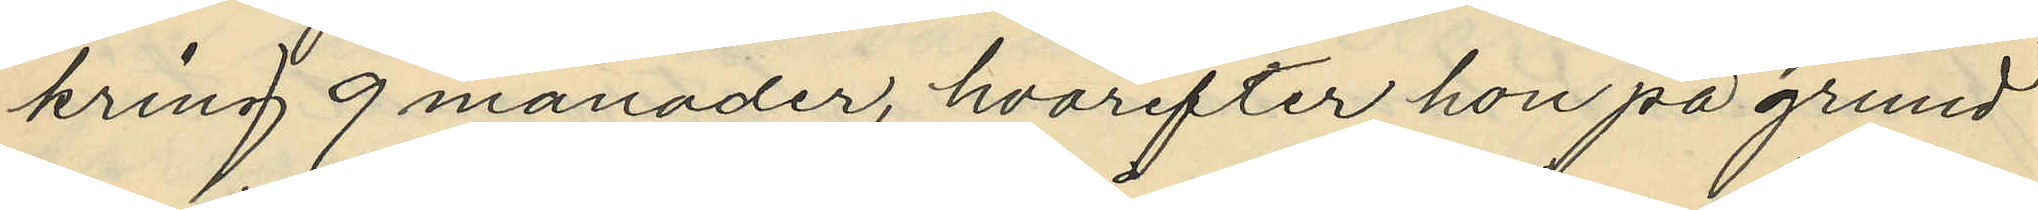kring 9 månader, hvarefter hon på grund
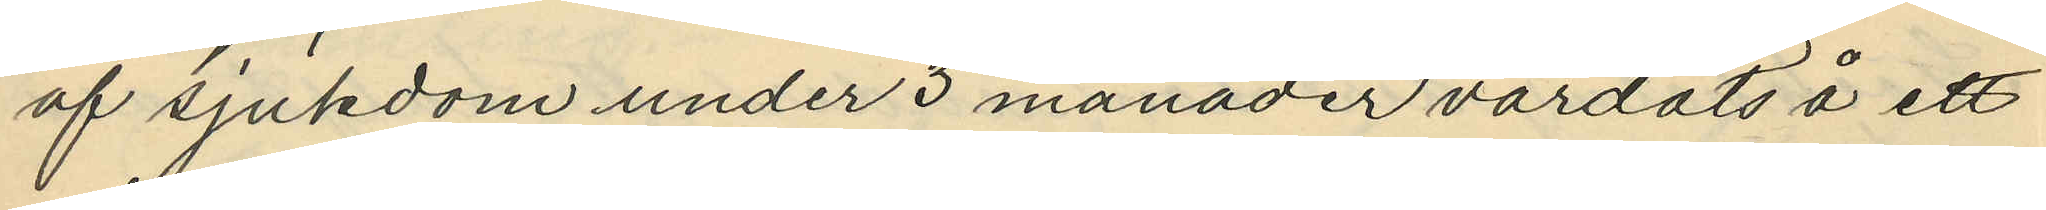af sjukdom under 3 månader vårdats å ett
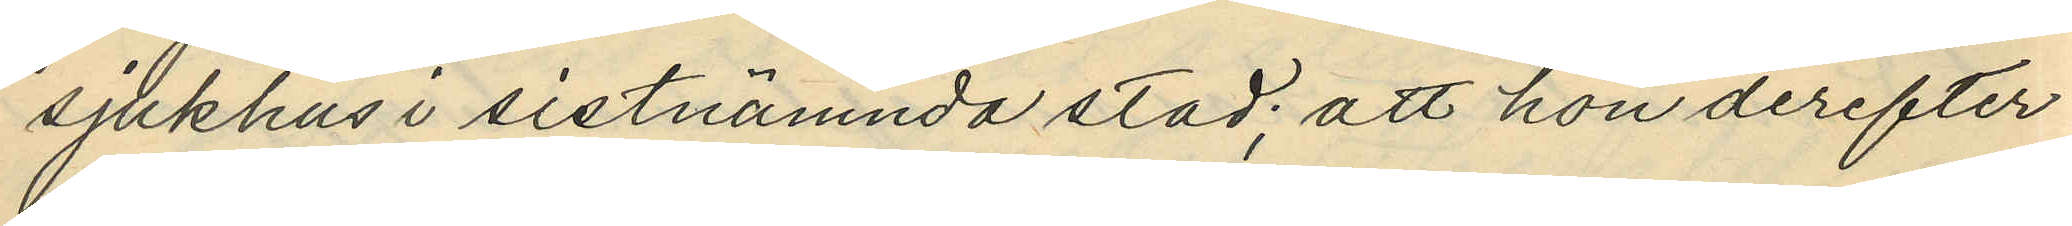sjukhus i sistnämnda stad att hon derefter
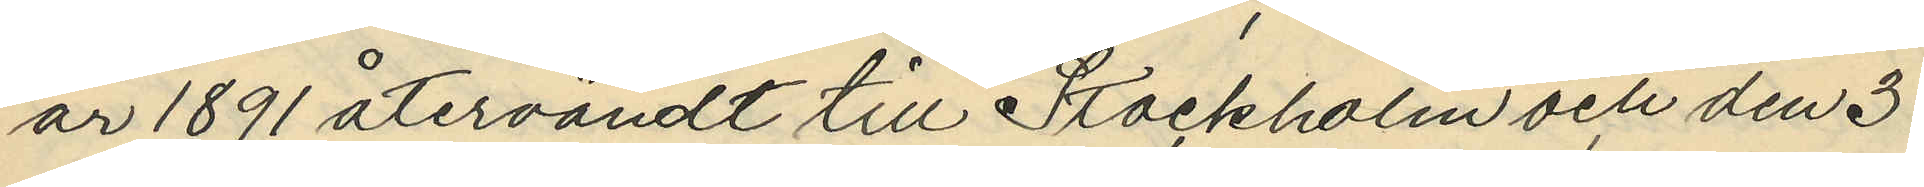år 1891 återvändt till Stockholm och den 3
